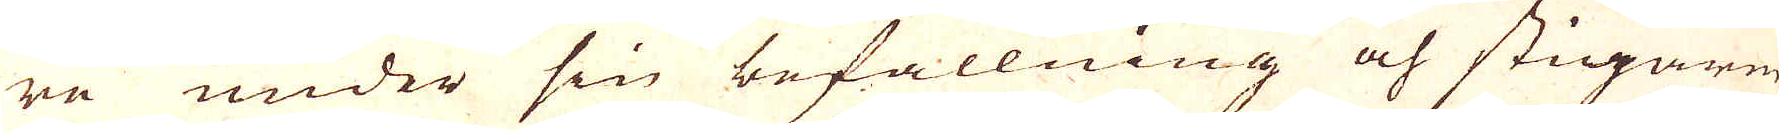re under sin befallning och stigaren
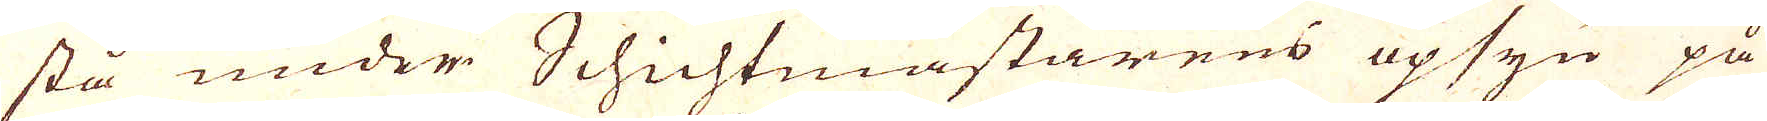stå under Schichtmästarens opsyn på
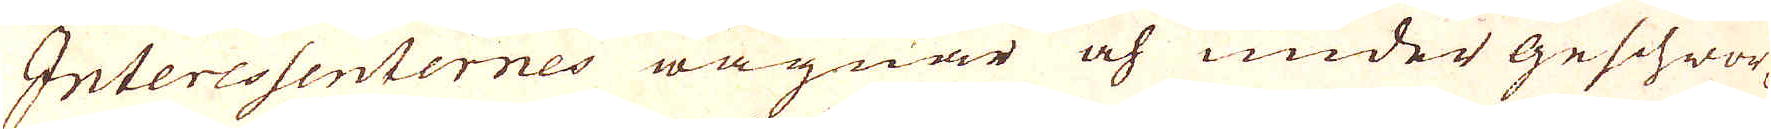Interessenternes wägnar och under geschwor-
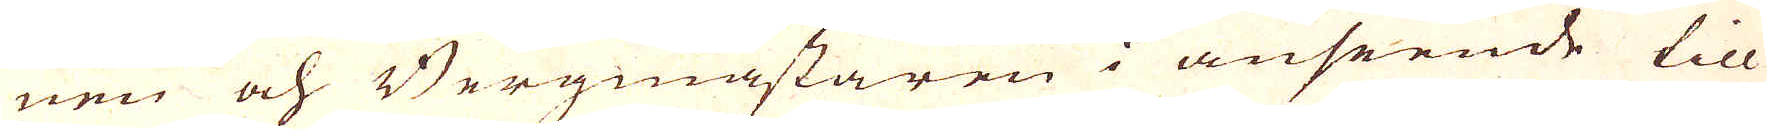nen och Bergmästaren i anseende till
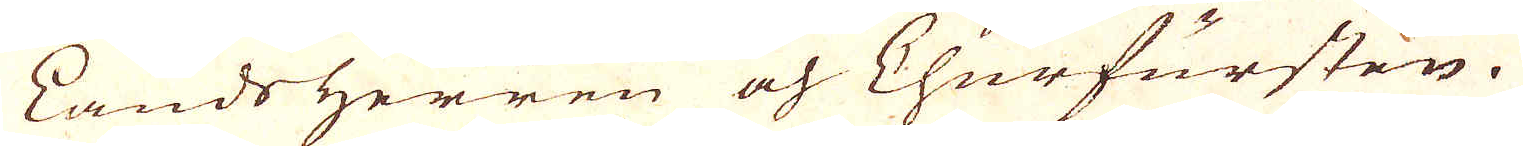Lands Herren och Churfursten.
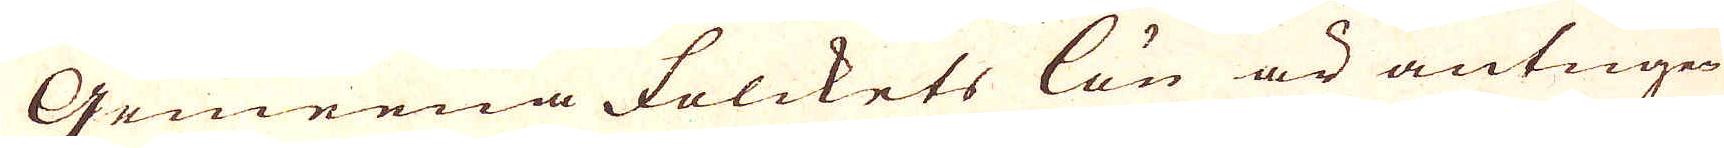Gemena Folckets lön är antingen
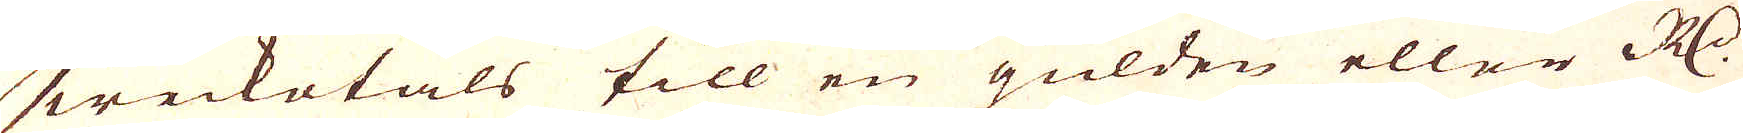weckotals till en gulden eller R:dr
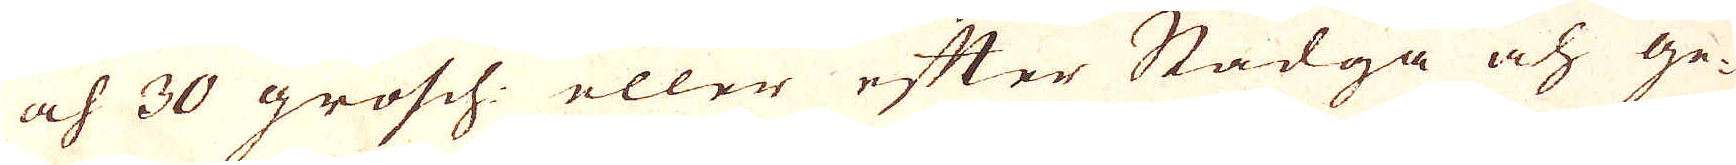och 30 grosch: eller efter Stadga och ge-
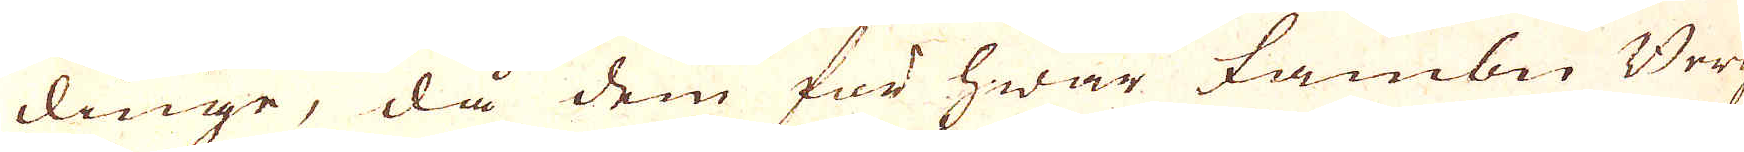dinge, då dem för hwar fambn Berg
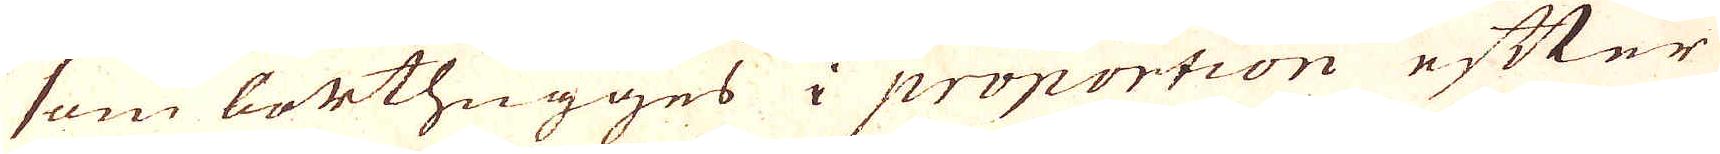som borthugges i proportion efter
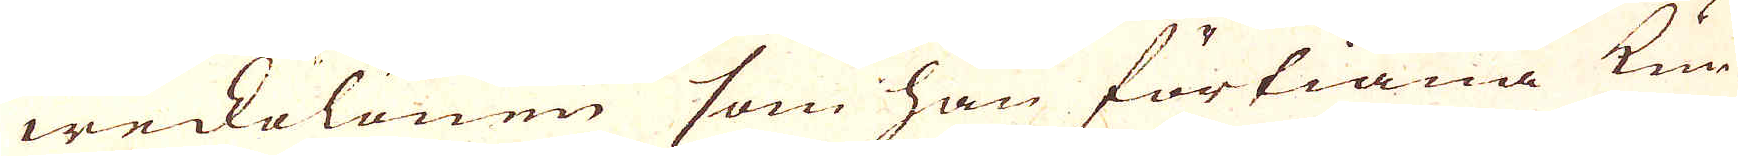weckolönen som han förtiäna kun-
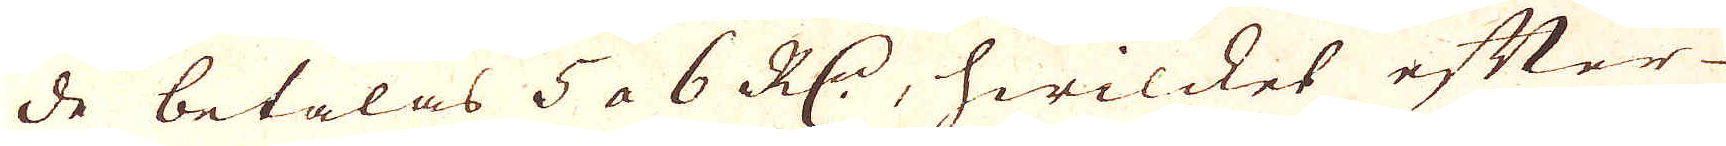de betalas 5 a 6 R:dr, hwilcket efter
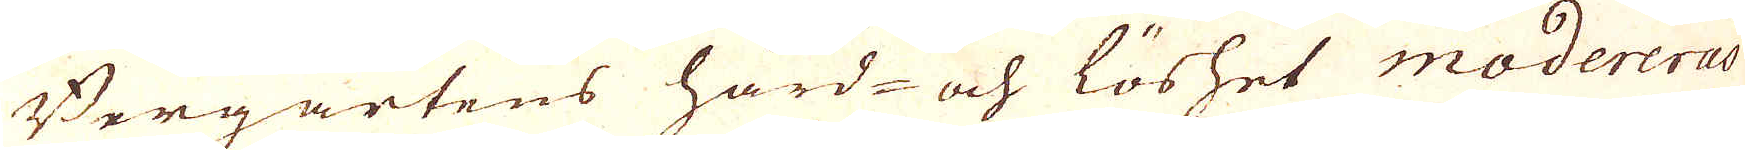Bergartens hård- och löshet modereras
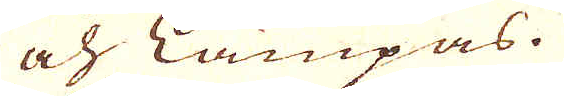och lämpas.
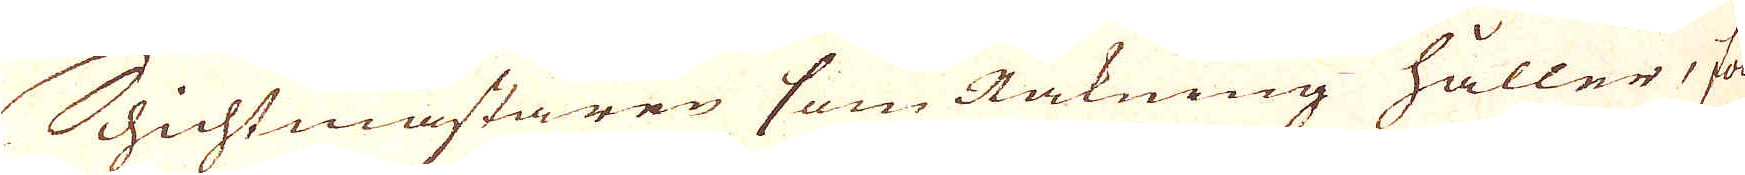Schichtmästaren som Räkning håller, fol-
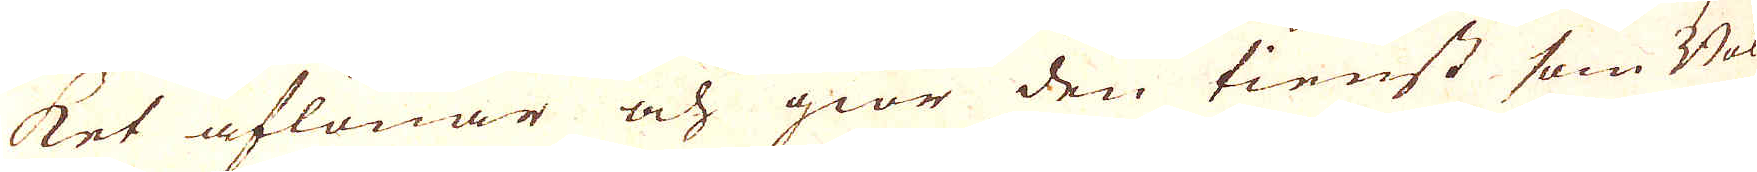ket aflönar och giör den tienst som Bok-
